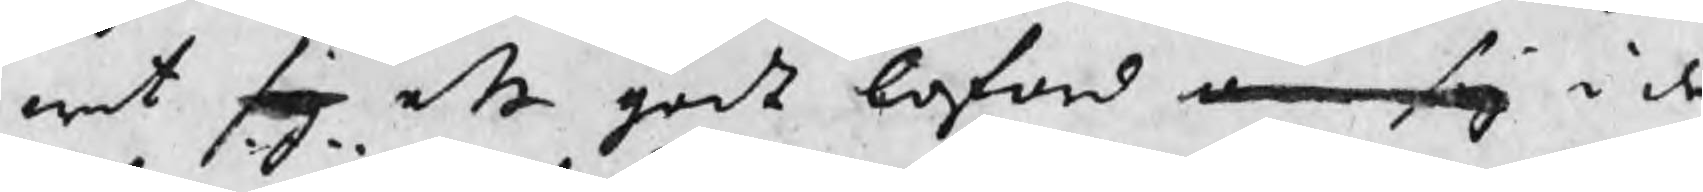wat sig ett godt loford om sig i de 
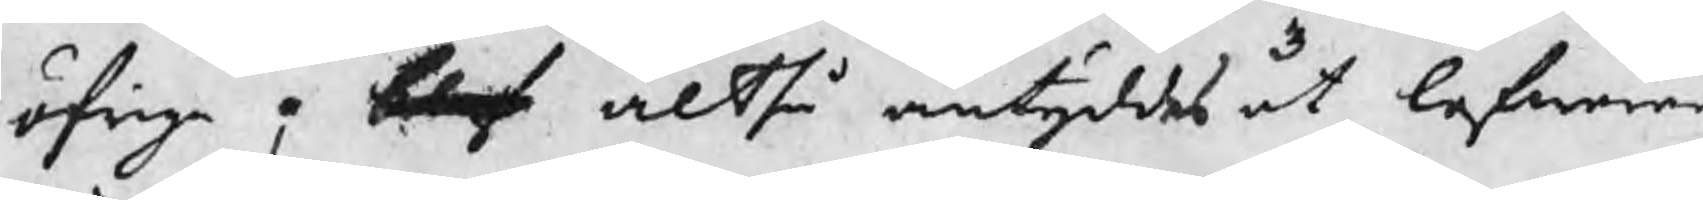öfrige ; blef altså antyddes at lefwerer
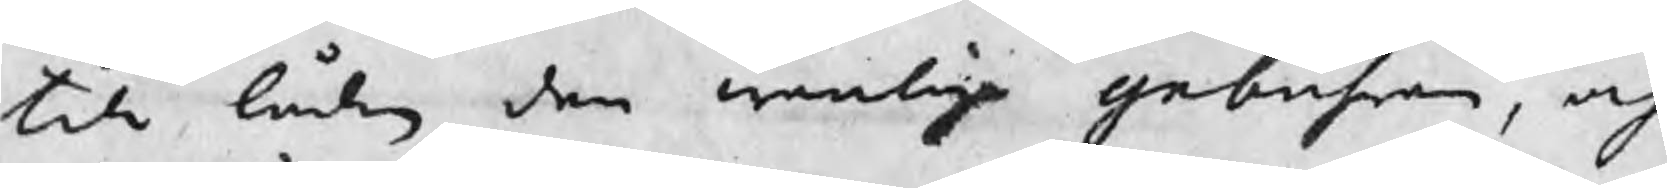till lådan den wanliga gebuhren, och
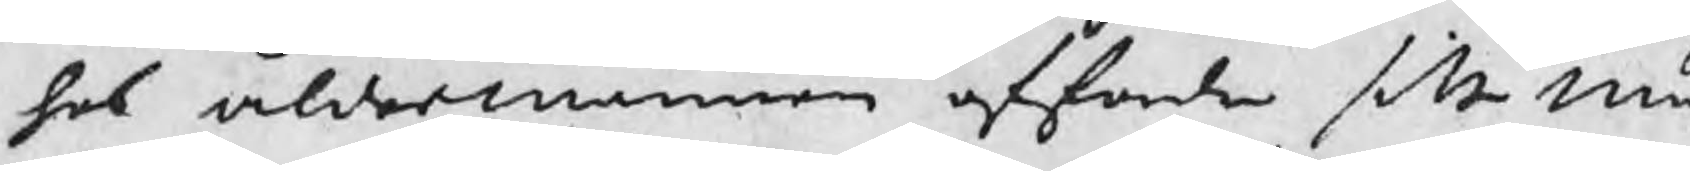hos åldermannen affordra sitt mä¬
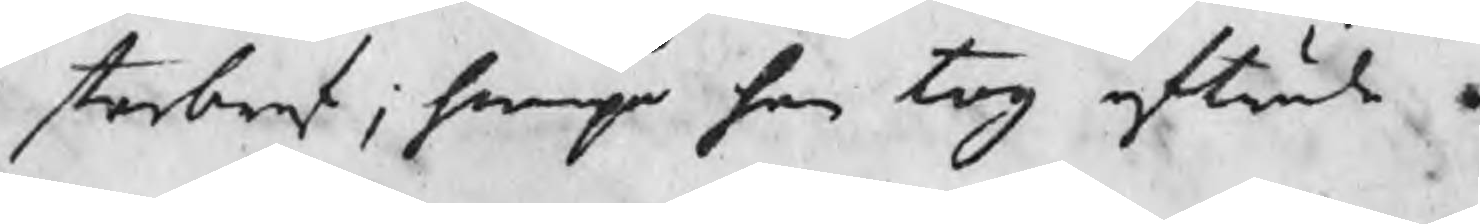sterbref; hwarpå han tog afträde.
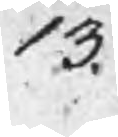13.
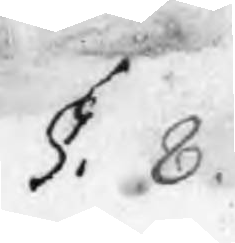§. 8.
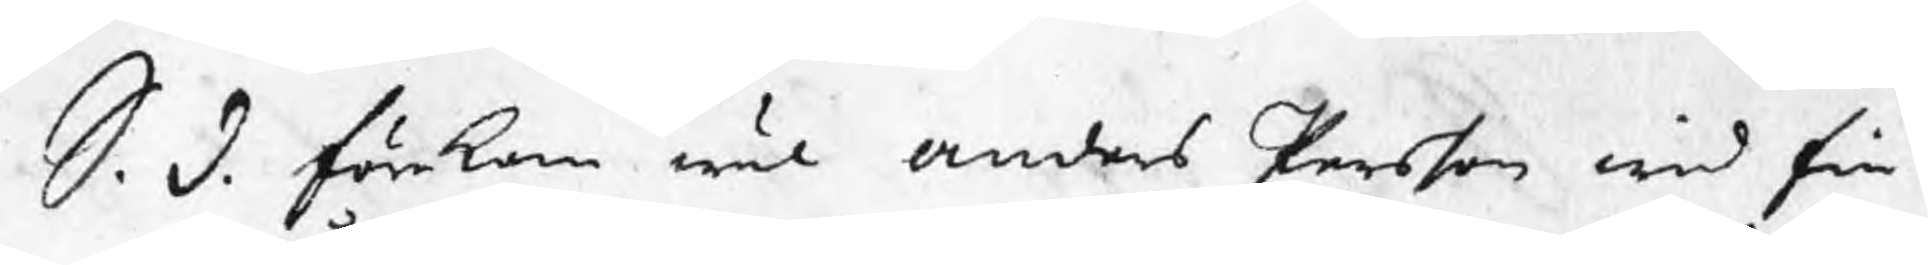S. d. Förekom wäl Anders Persson wid Fin¬
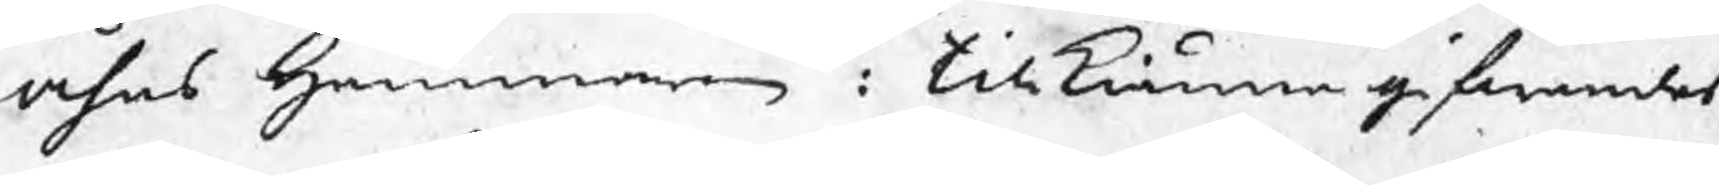åhns Hammaren : tillkiännagifwandes
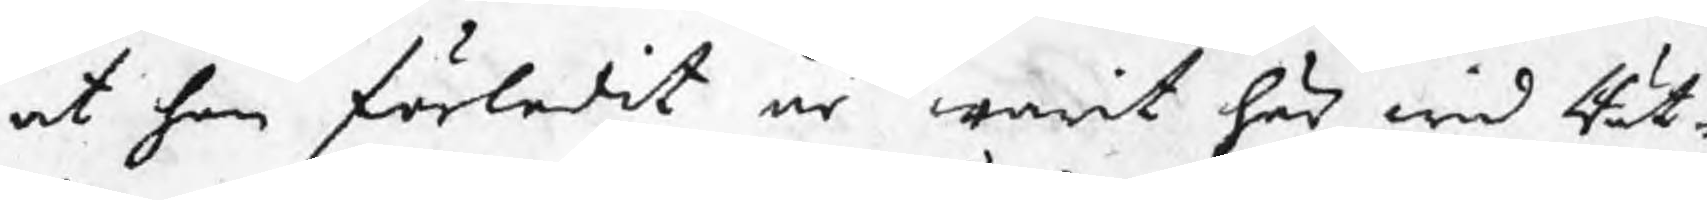at han förledit år warit här wid Rät¬
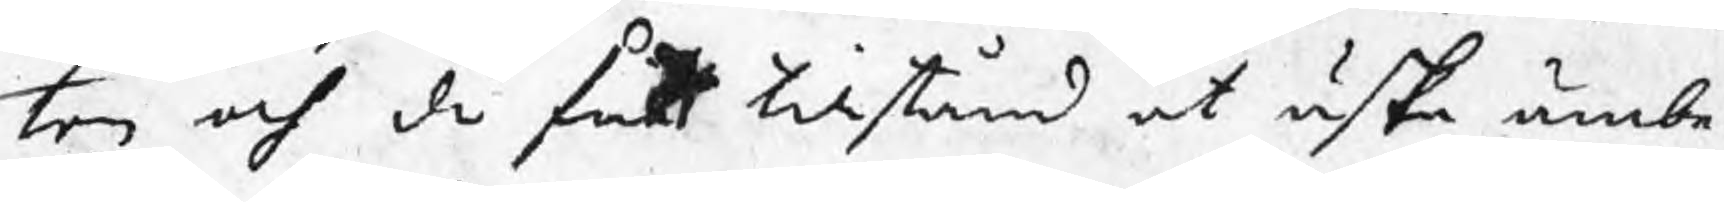ten och då fått tillstånd at äska ämbe¬
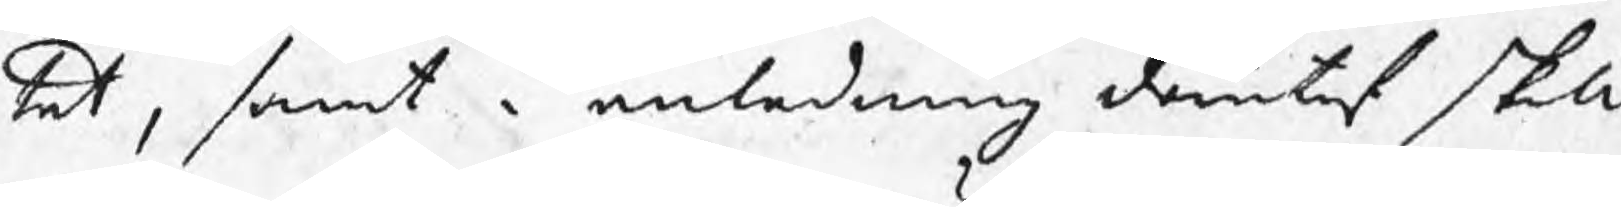tet, samt i anledning derutaf skall
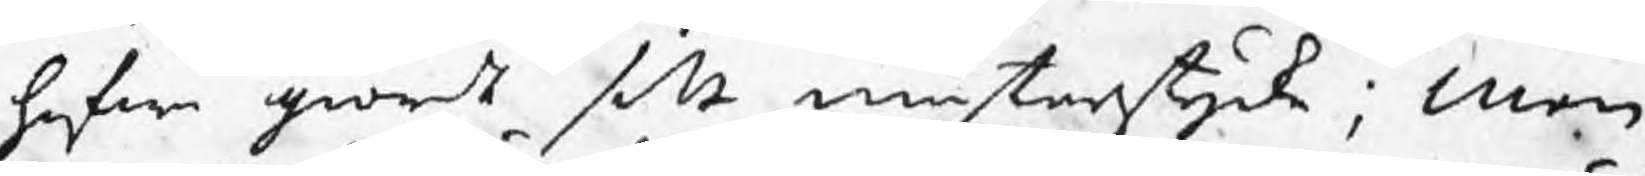hafwa giordt sitt mästarstycke; Men
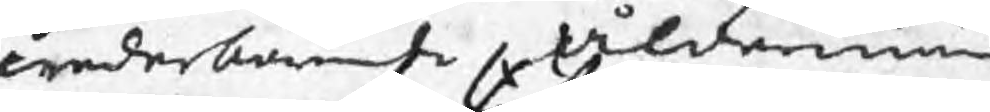wederbörande ålderman
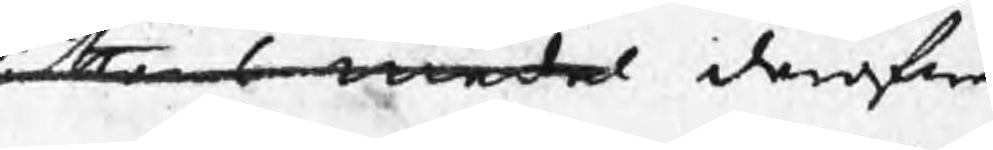tan medel deröfwer
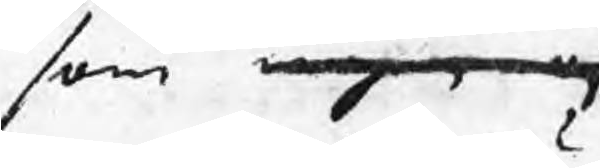som ingen n
